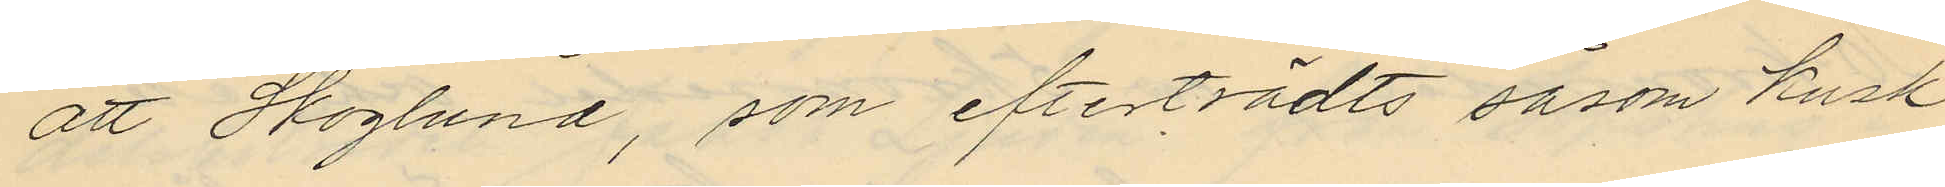att Skoglund, som efterträdts såsom kusk
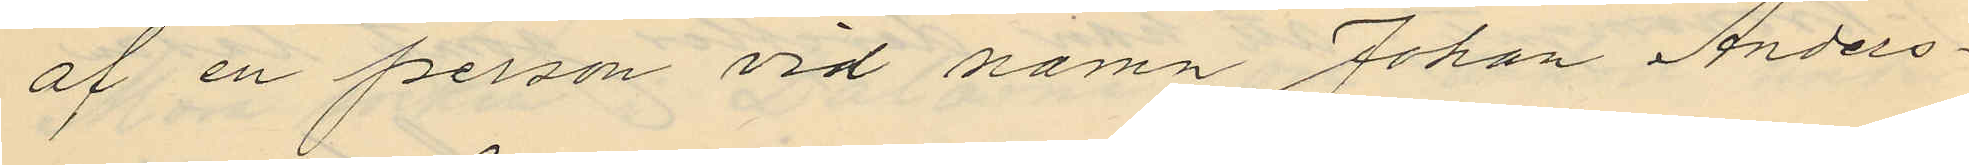af en person vid namn Johan Anders¬
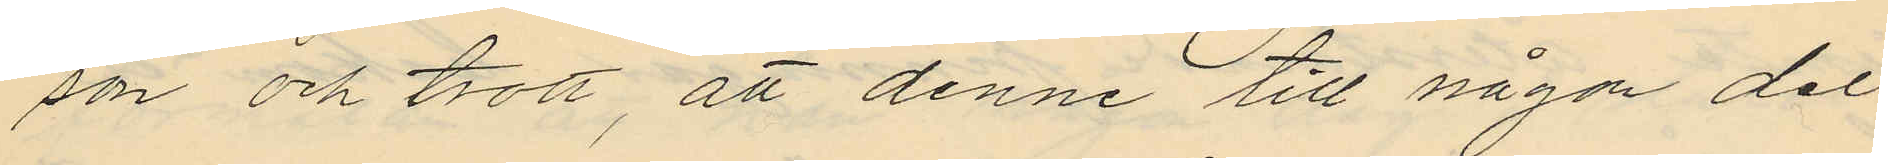son och trott, att denne till någon del
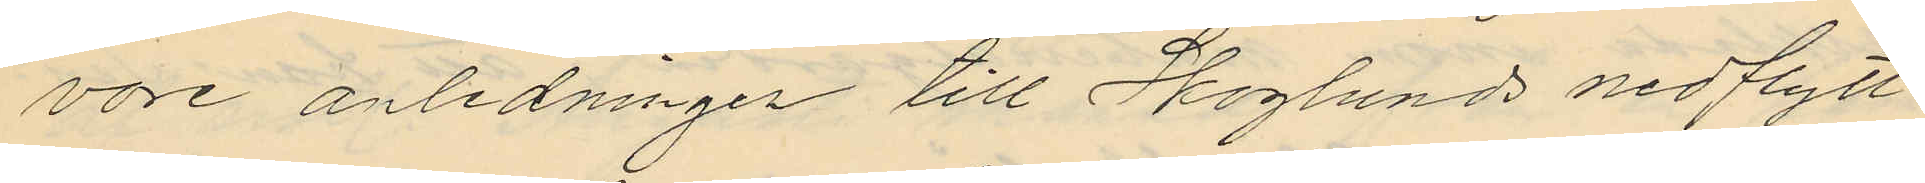vore anledningen till Skoglunds nedflytt
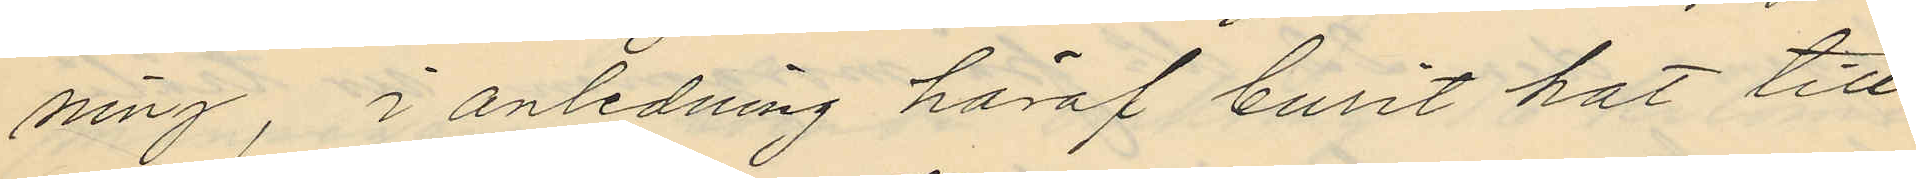ning, i anledning häraf burit hat till
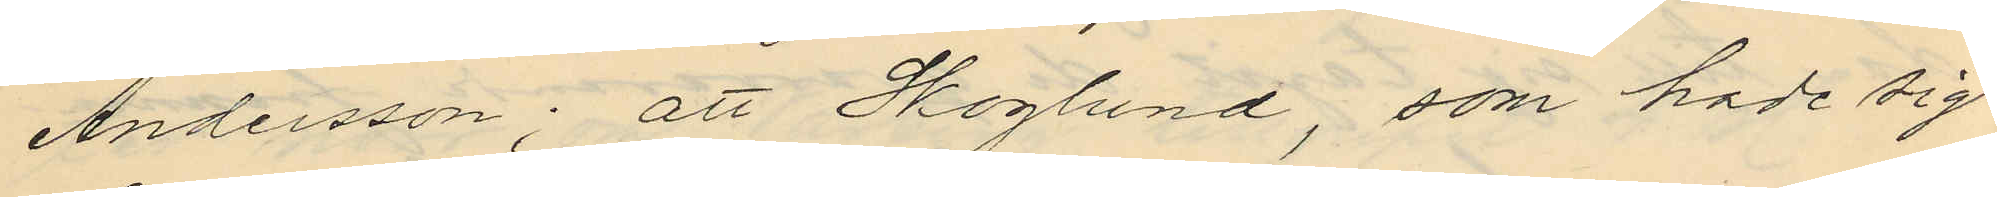Andersson; att Skoglund, som hade sig
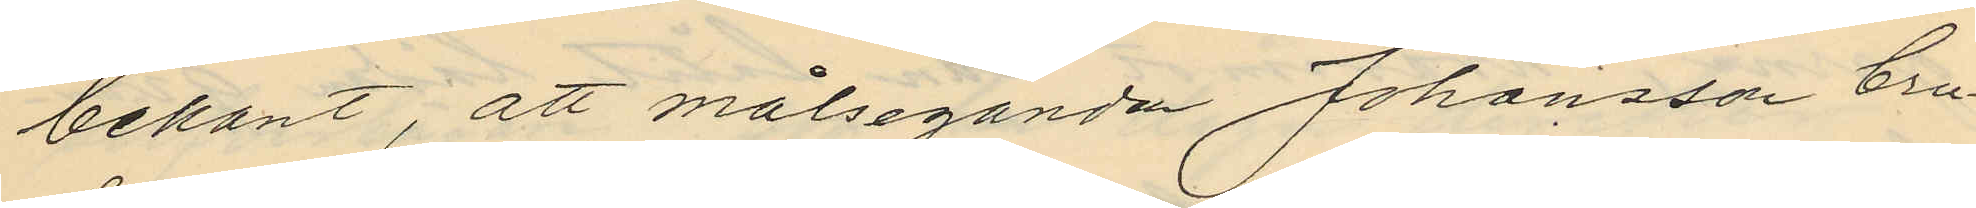bekant, att målseganden Johansson bru¬
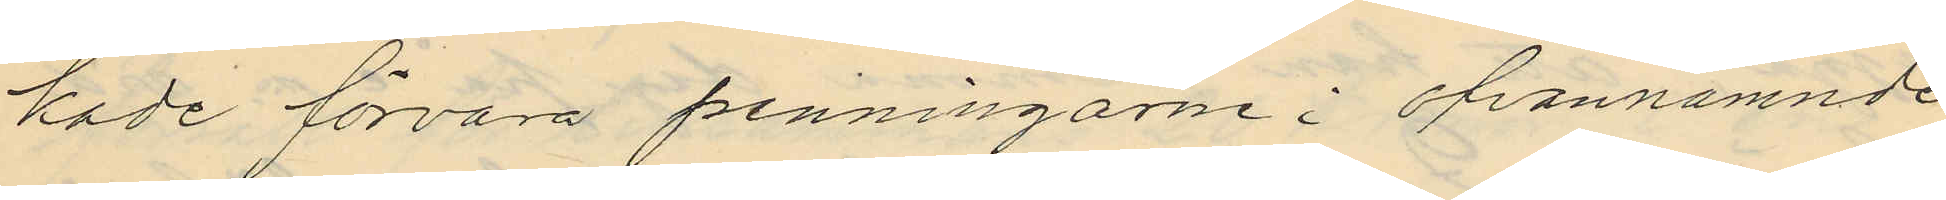kade förvara penningarne i ofvannämnde
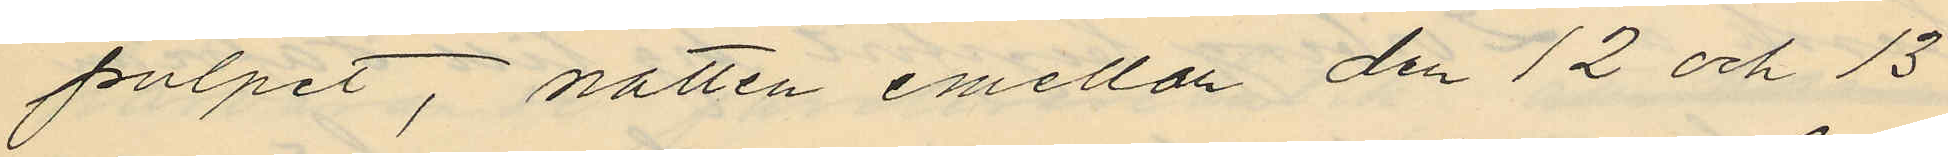pulpet, natten emellan den 12 och 13
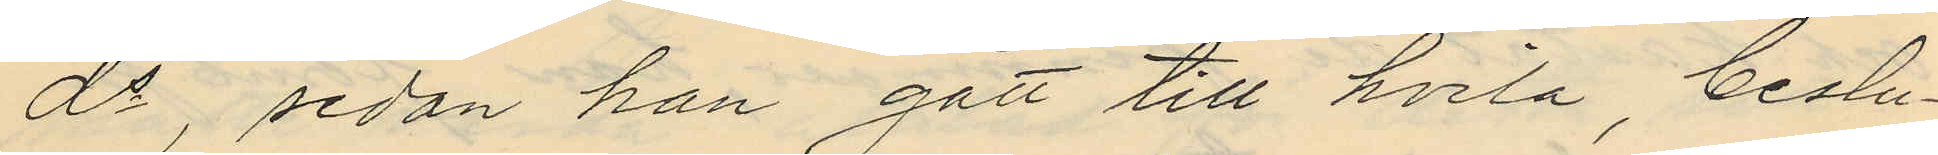ds, sedan han gått till hvila, beslu¬
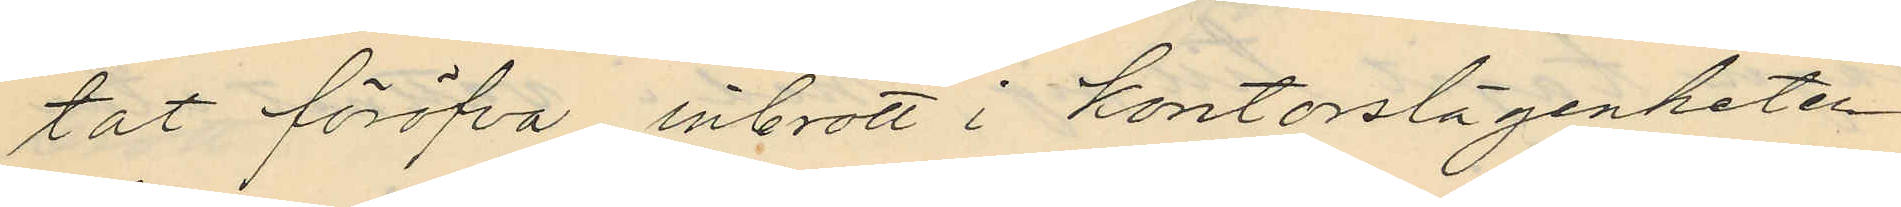tat föröfva inbrott i kontorslägenheten
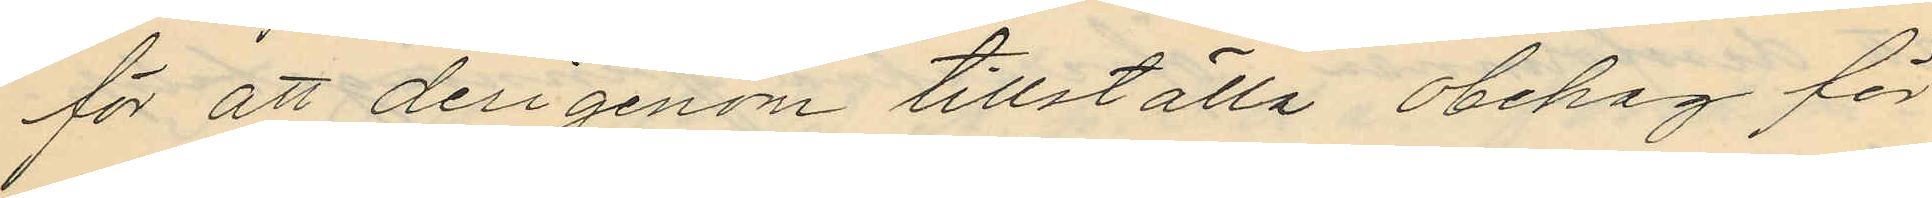för att derigenom tillställa obehag för
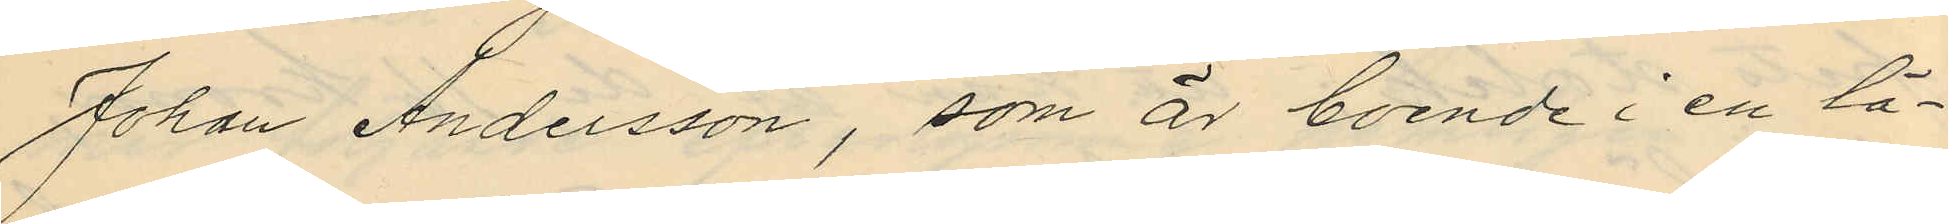Johan Andersson, som är boende i en lä¬
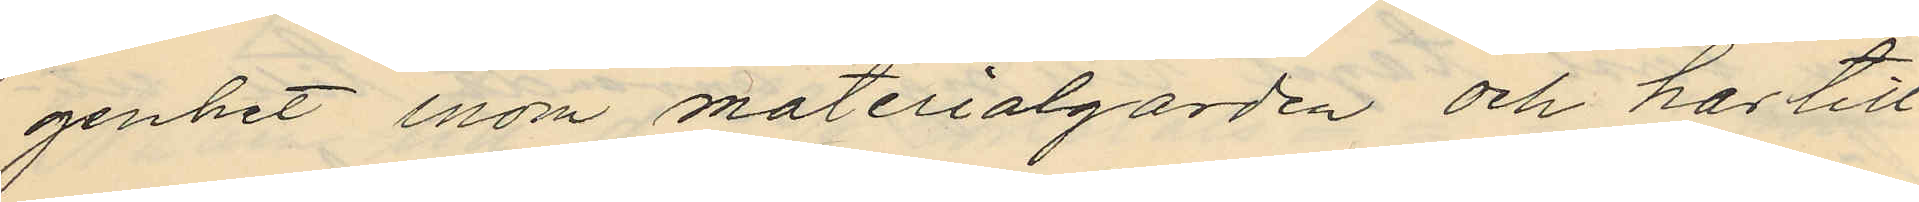genhet inom materialgården och har till
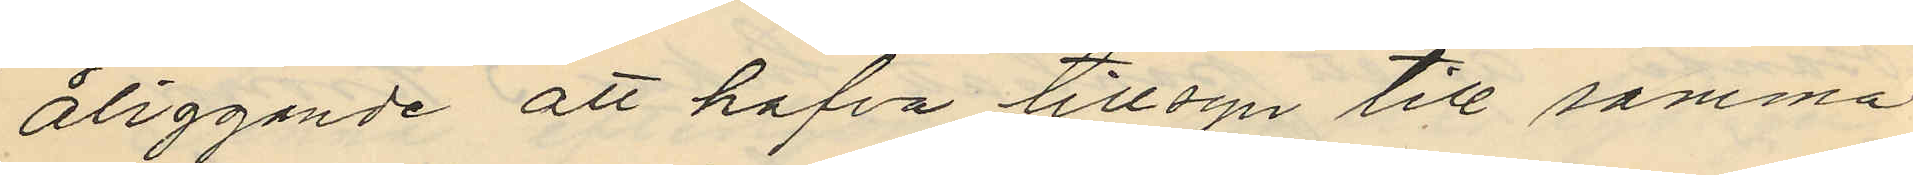åliggande att hafva tillsyn till samma
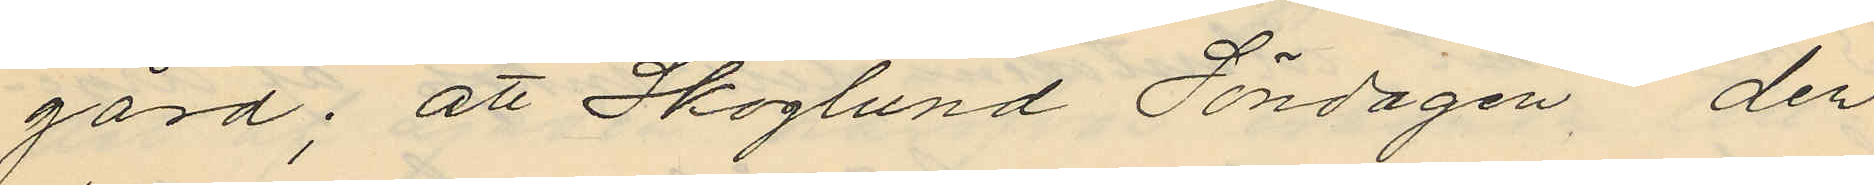gård; att Skoglund Söndagen, den
